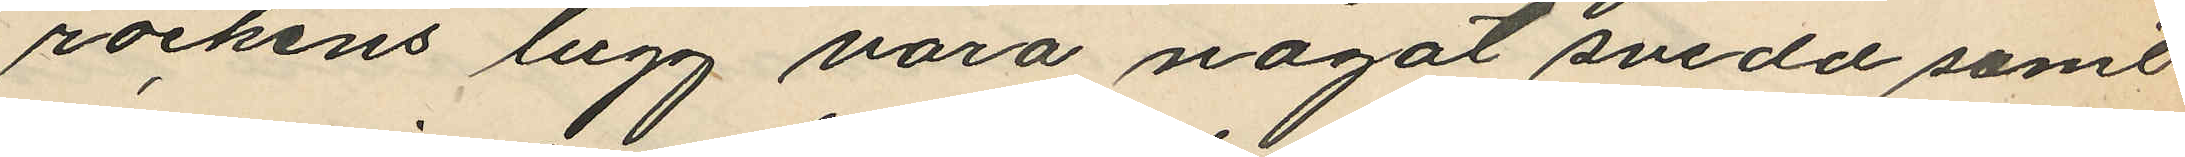rockens lugg vara något svedd samt
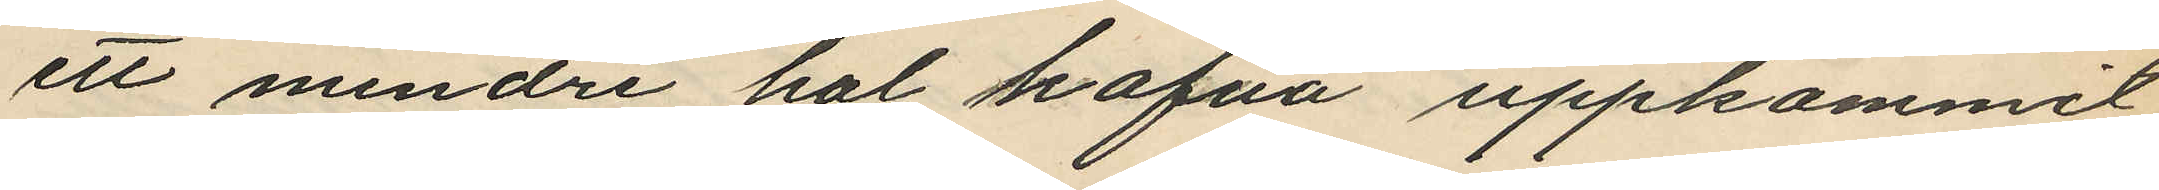ett mindre hal hafva uppkommit
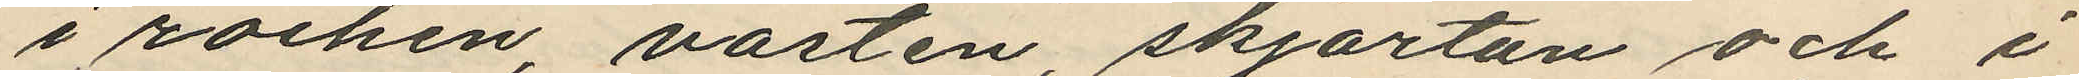i rocken, västen, skjortan och i
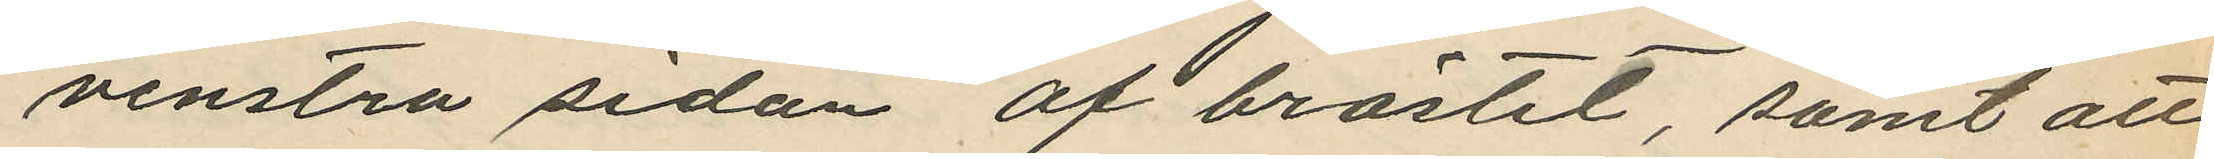venstra sidan af bröstet, samt att
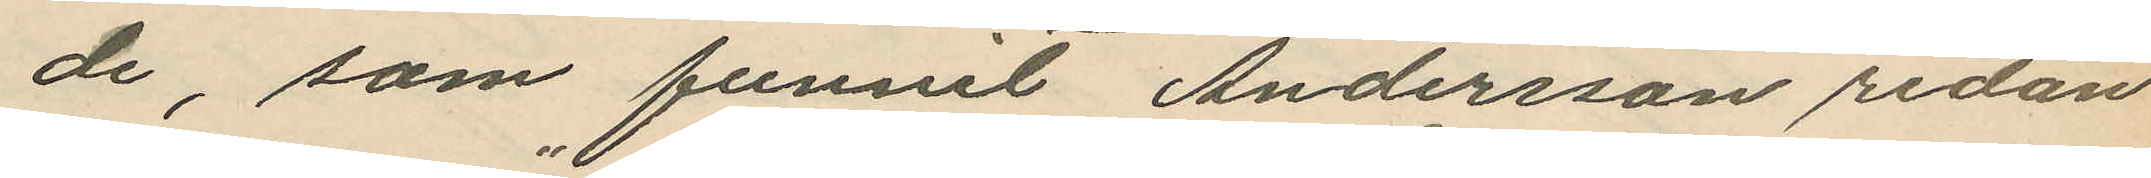de, som funnit Andersson redan
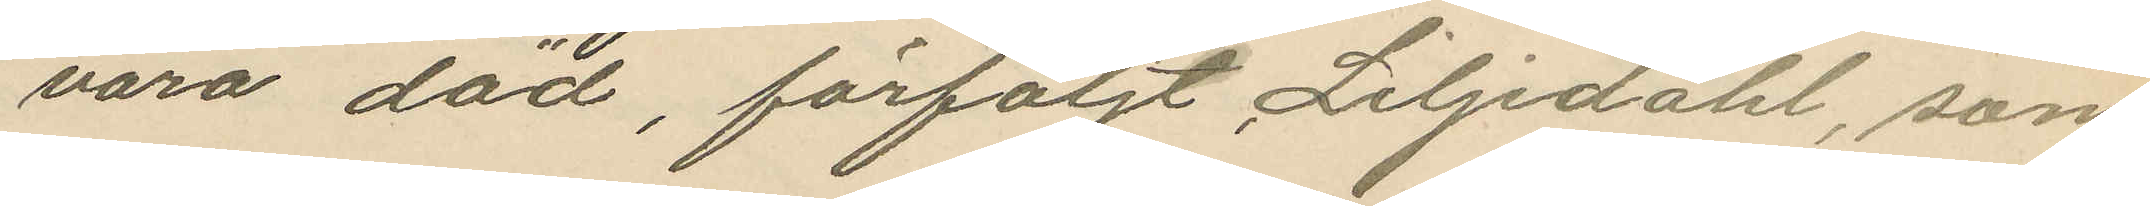vara död, förföljt Liljedahl, som
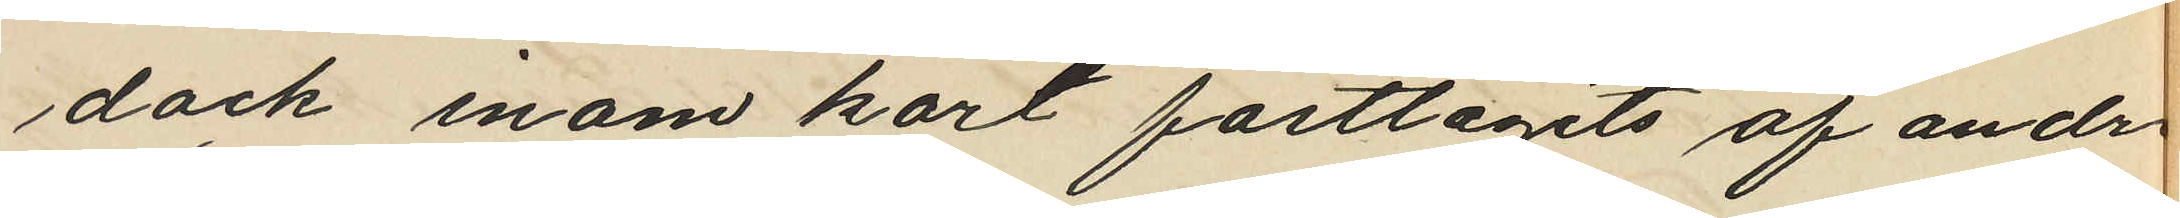dock inom kort fasttagits af andra
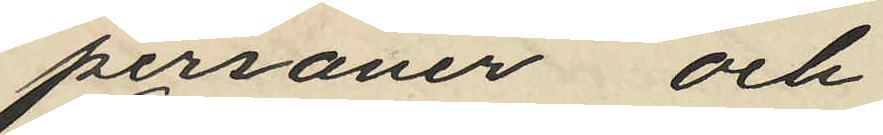personer och
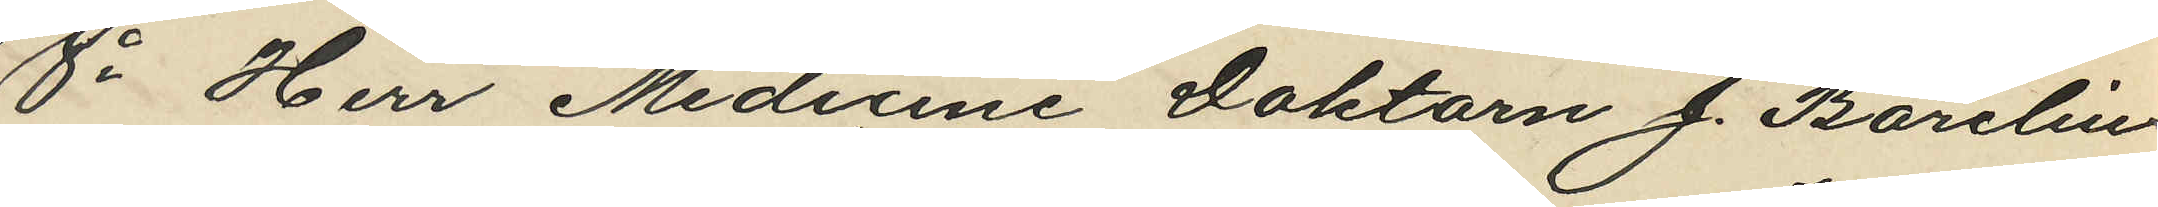8o Herr Medicine Doktorn J. Barelius
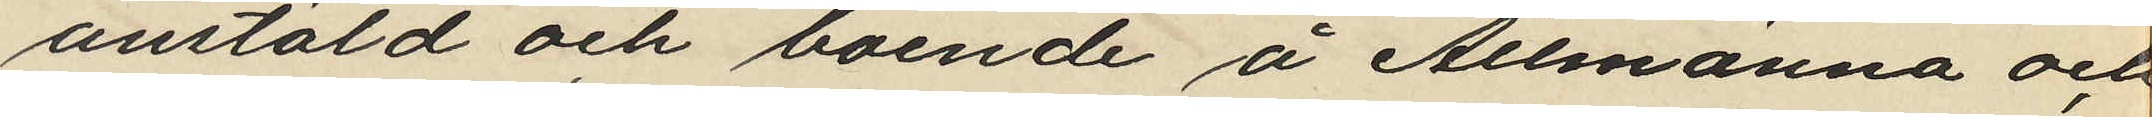anstäld och boende å Allmänna och
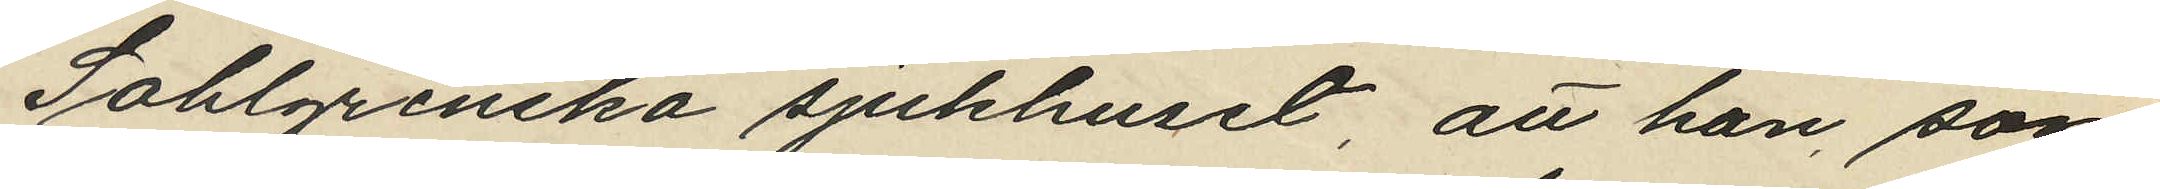Sahlgrenska sjukhuset, att han, som
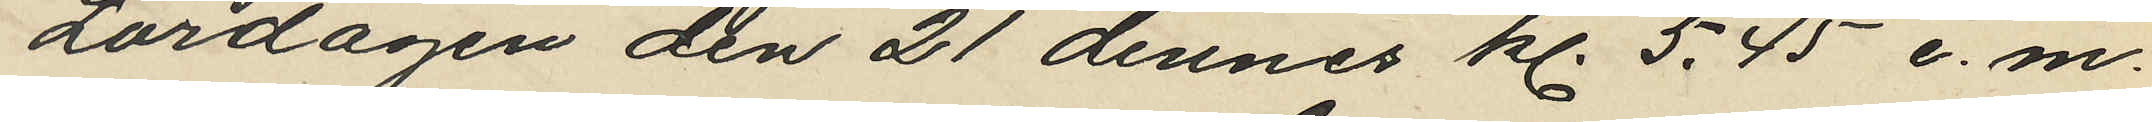Lördagen den 21 dennes kl. 5,45 e.m.
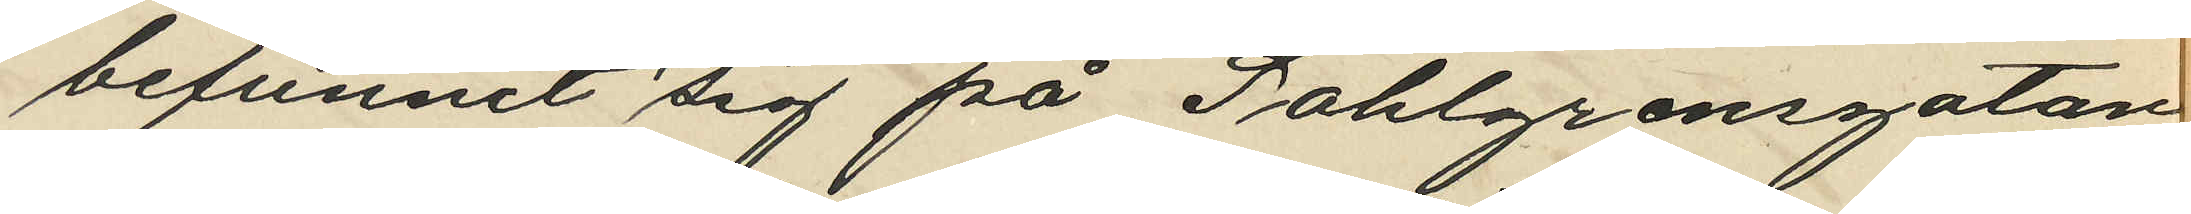befunnit sig på Sahlgrensgatan
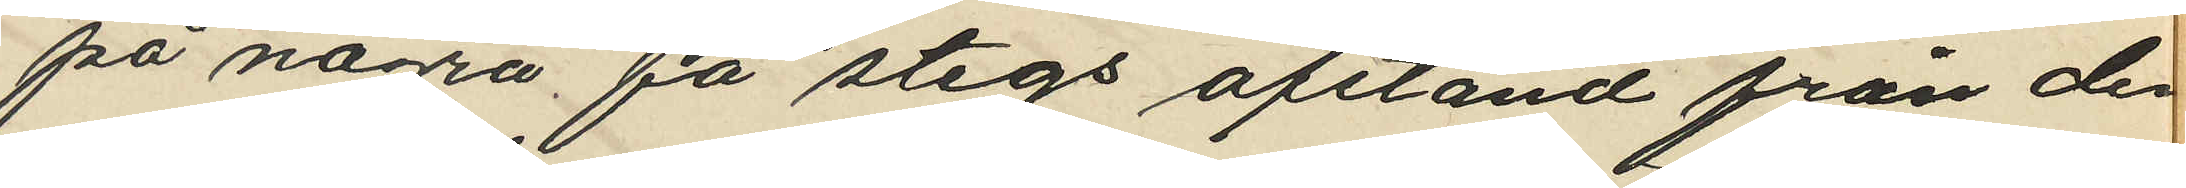på några få stegs afstånd från den
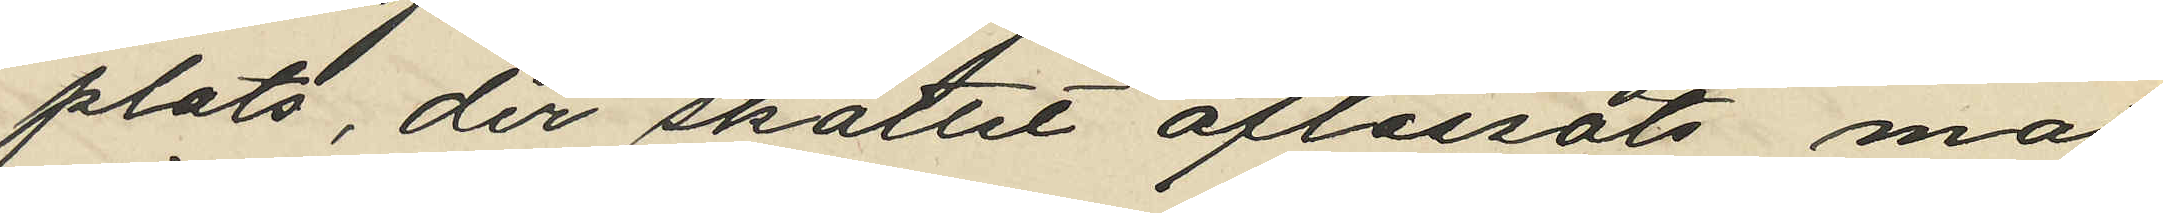plats, der skottet aflossats mot
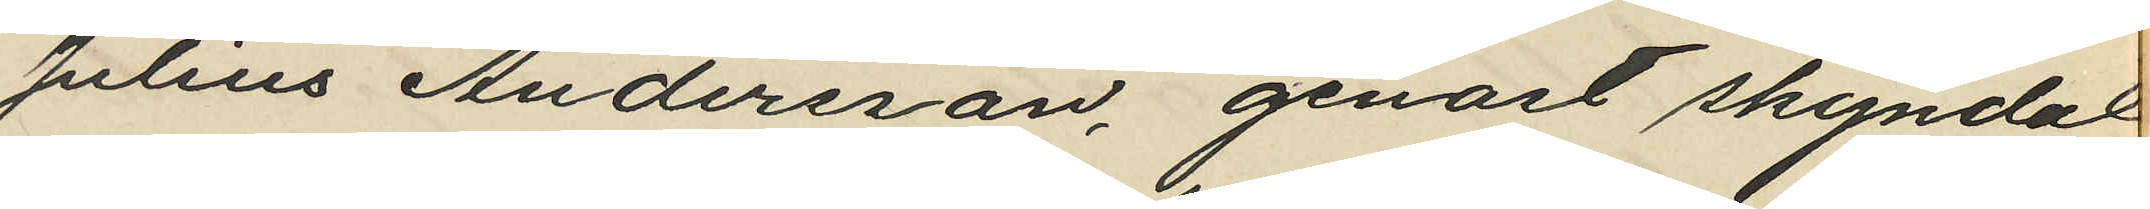Julius Andersson, genast skyndat
